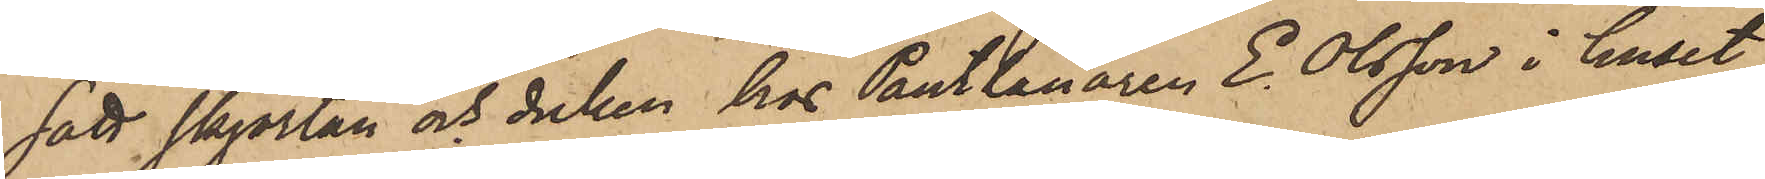satt skjortan och duken hos Pantlånaren E. Olsson i huset
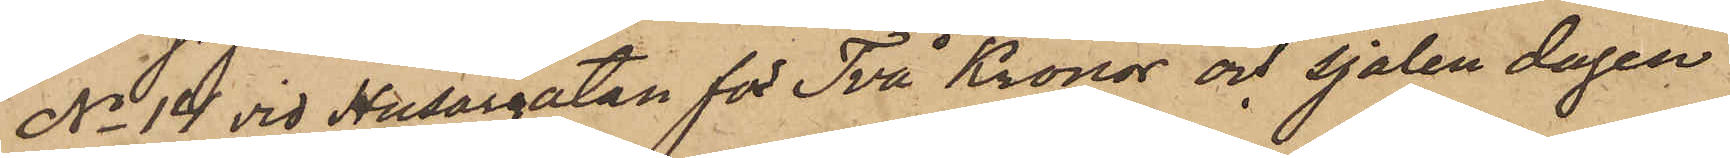No 14 vid Husargatan för Två Kronor och sjalen dagen
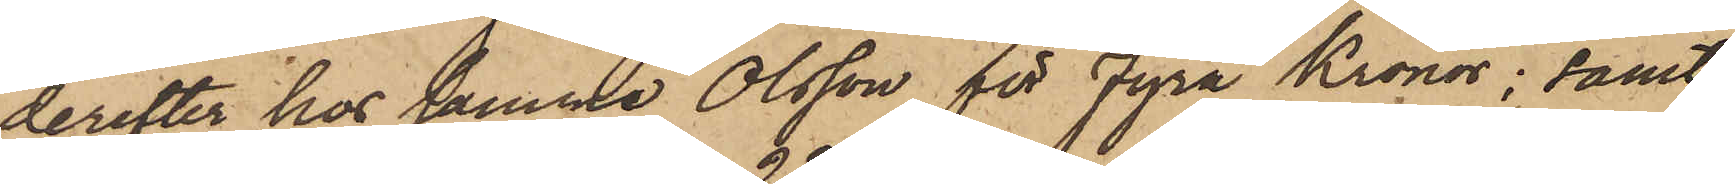derefter hos samma Olsson för Fyra Kronor; samt
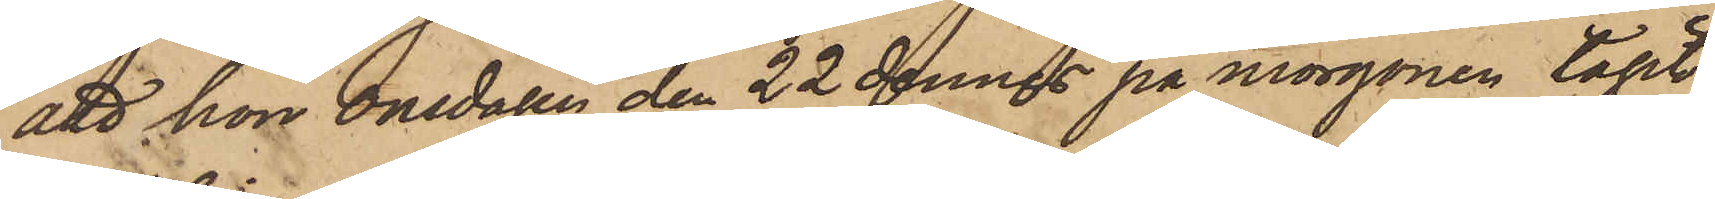att hon onsdagen den 22 dennes på morgonen tagit
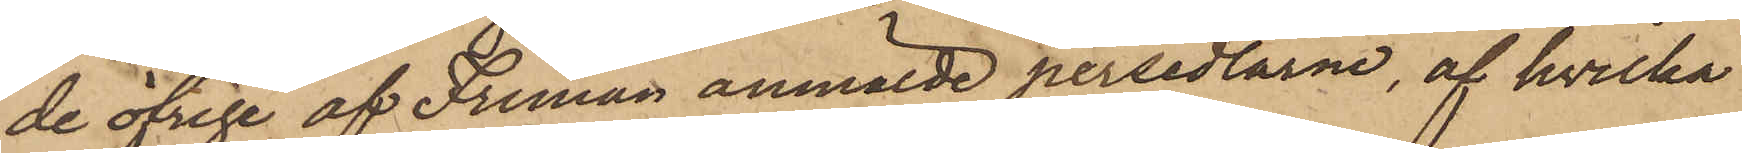de öfrige af Friman anmälde persedlarne, af hvilka
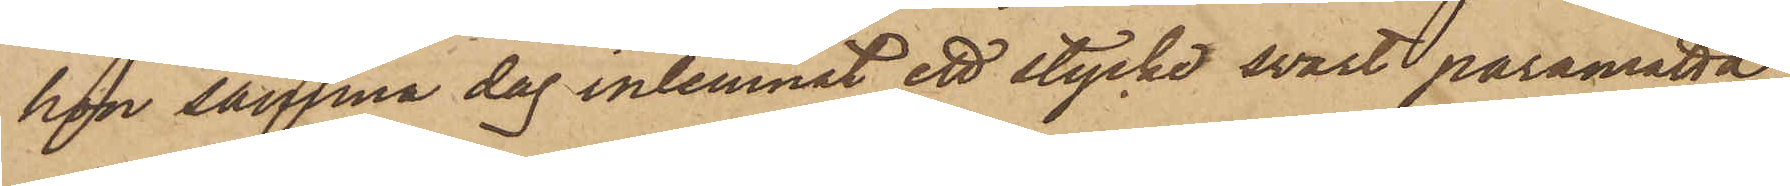hon samma dag inlemnat ett stycke svart paramatta
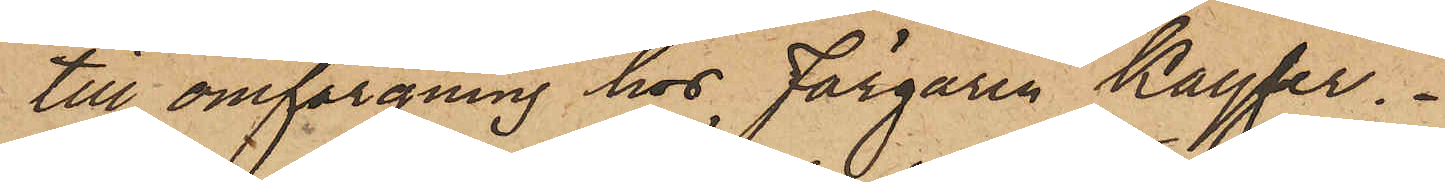till omfärgning hos Färgaren Kayser.
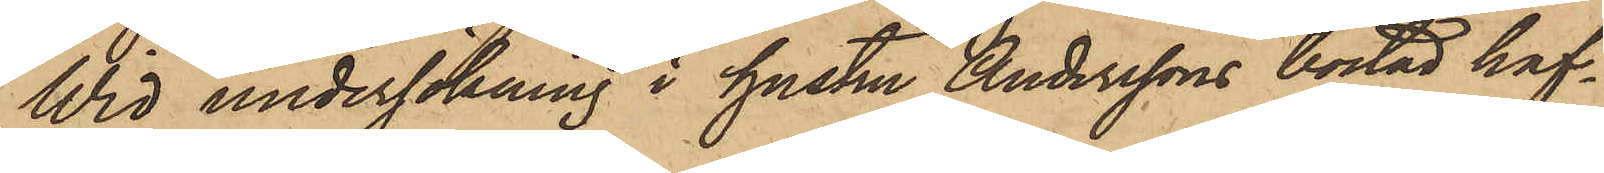Wid undersökning i hustru Anderssons bostad haf¬
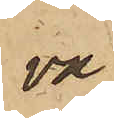va
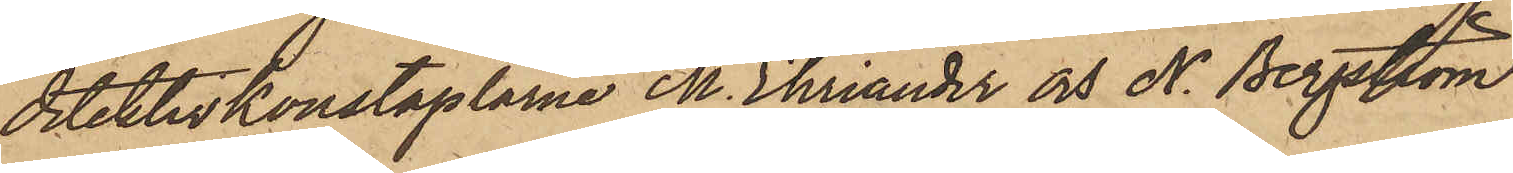detektivkonstaplarne M. Ehriander och N. Bergström
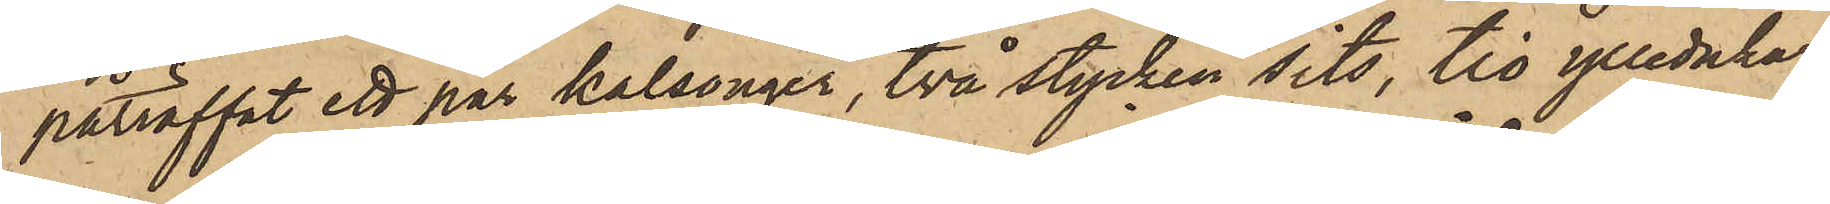påträffat ett par kalsonger, två stycken sits, tio ylledukar
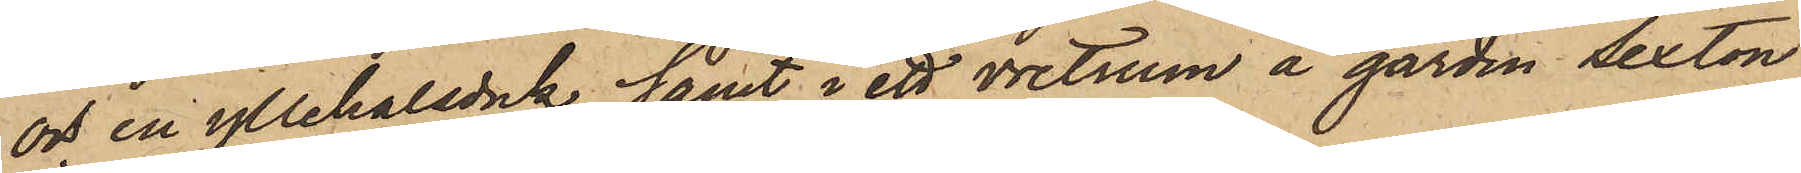och en yllehalsduk samt i ett vretrum å gården Sexton
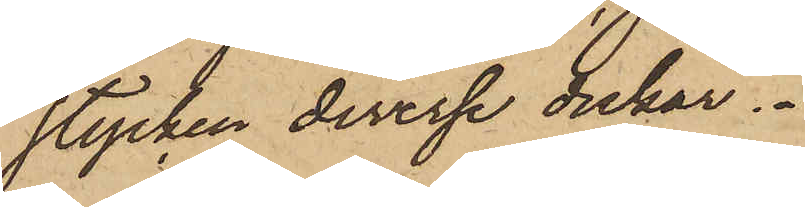stycken diverse dukar.
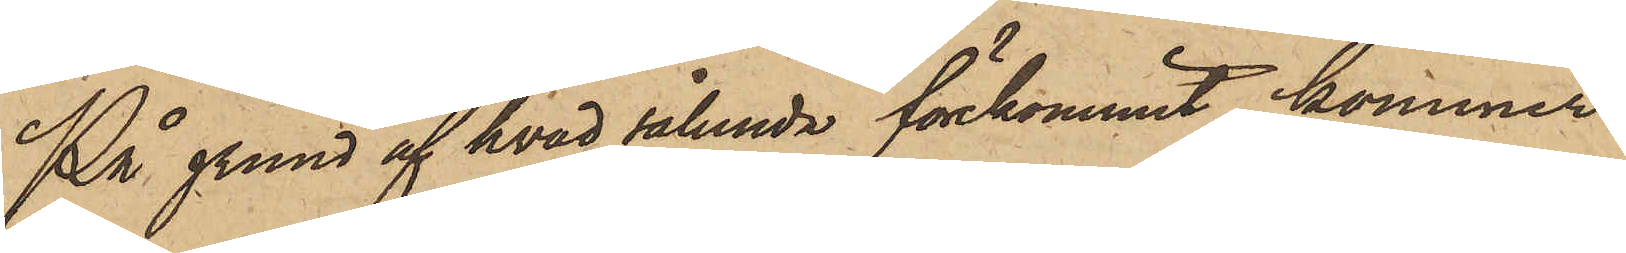På grund af hvad sålunda förekommit, kommer
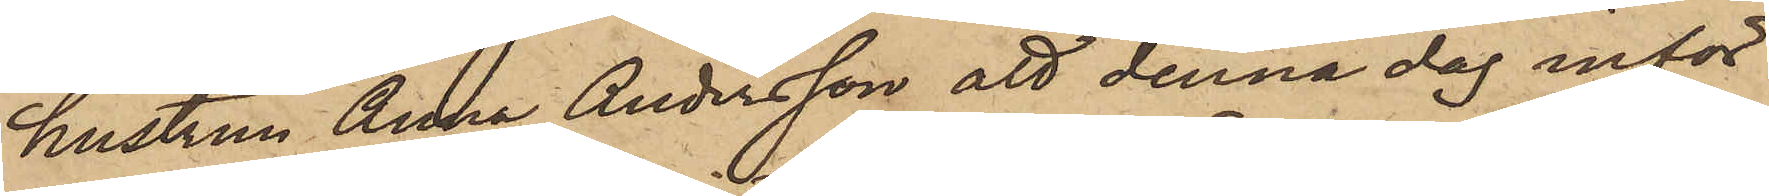hustrun Anna Andersson att denna dag inför
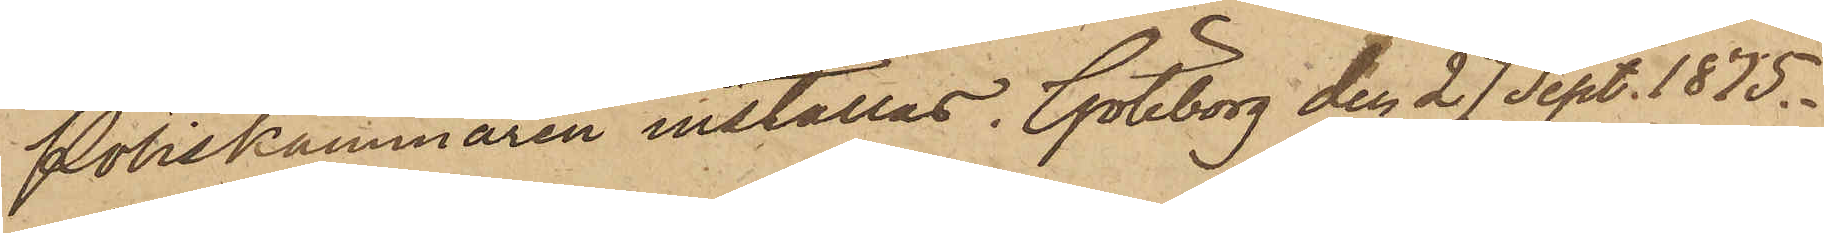Poliskammaren inställas. Göteborg den 27 Sept. 1875.
